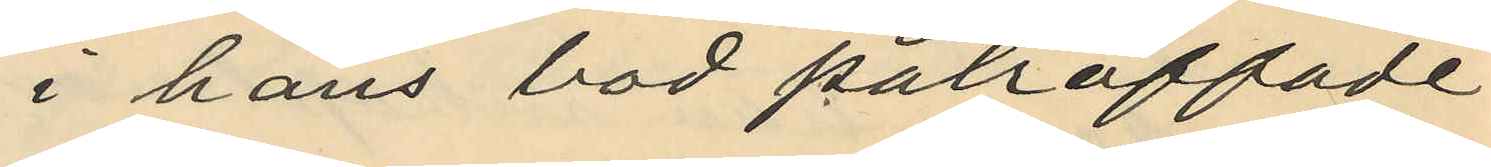i hans bod påträffade
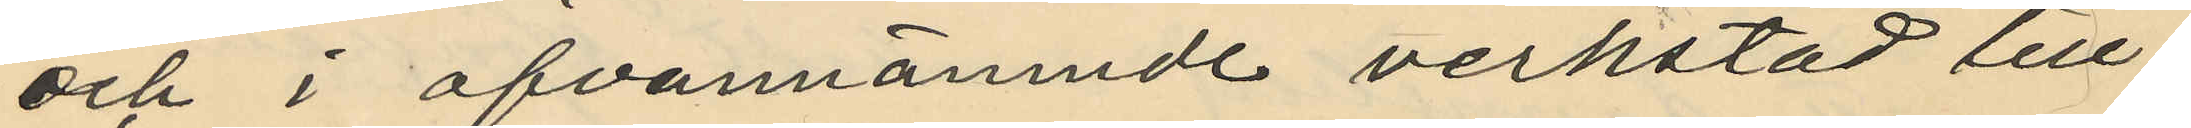och i ofvannämnde verkstad till¬
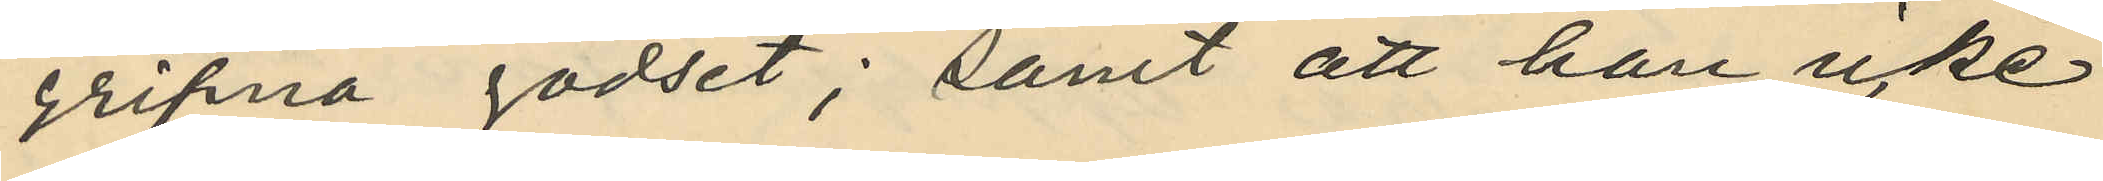gripna godset; samt att han icke
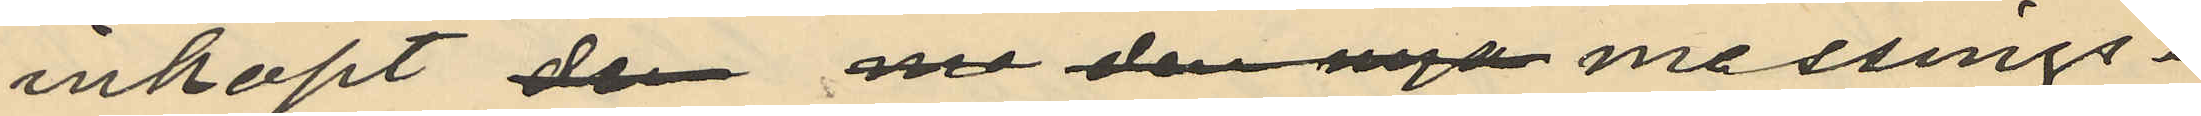inköpt den ne den nya messings¬
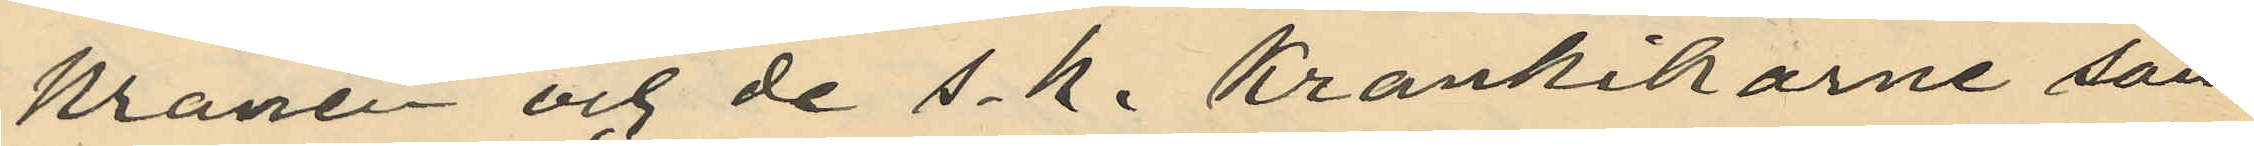kranen och de s.k. Krankikarne som
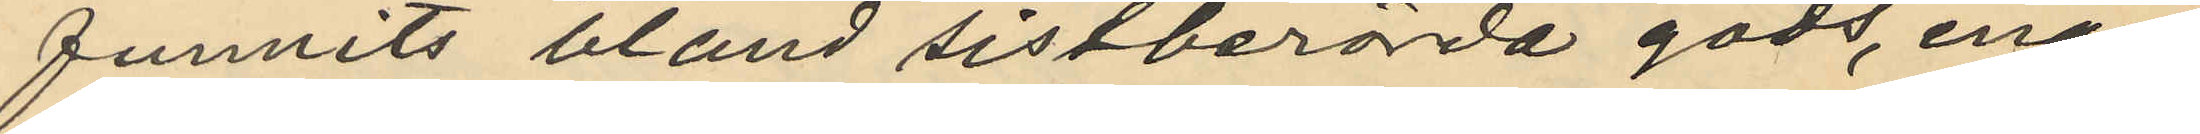funnits bland sistberörda gods, enär
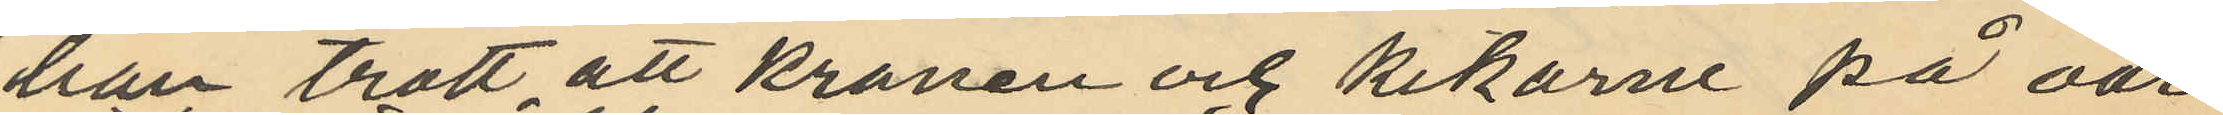han trott att kranen och kikarne på oär¬
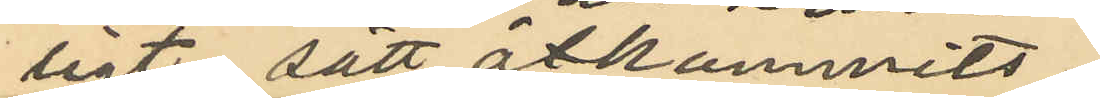ligt sätt åtkommits
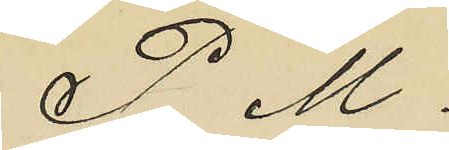P. M.
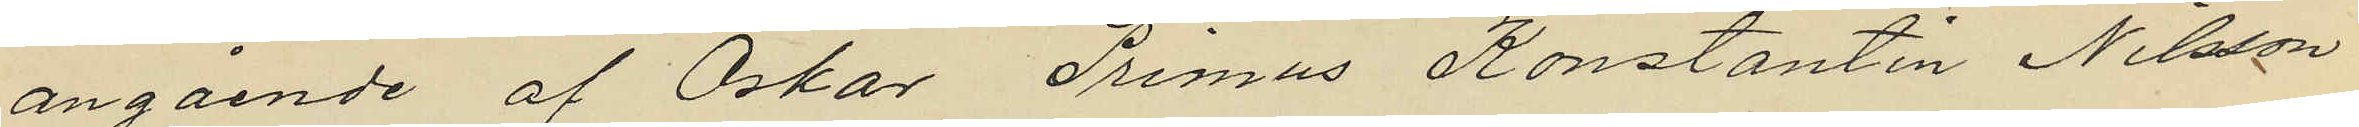angående af Oskar Primus Konstantin Nilsson
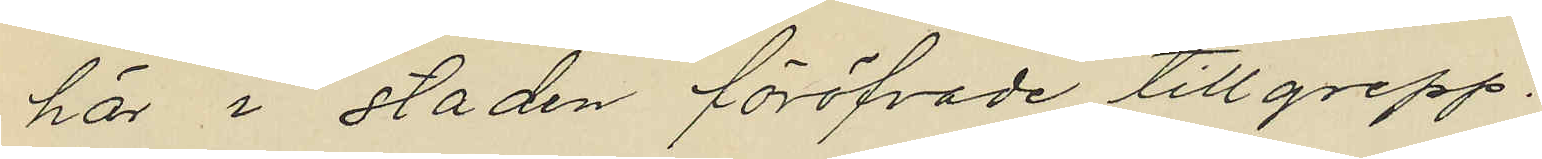här i staden föröfvade tillgrepp.
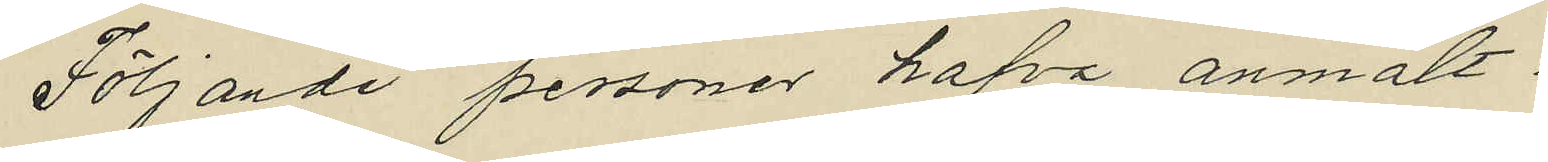Följande personer hafva anmält:
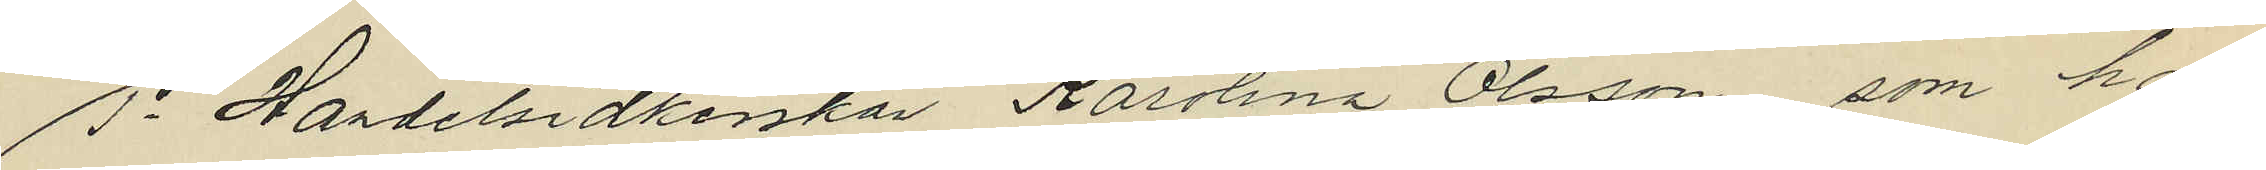1o Handelsidkerskan Karolina Olsson, som har
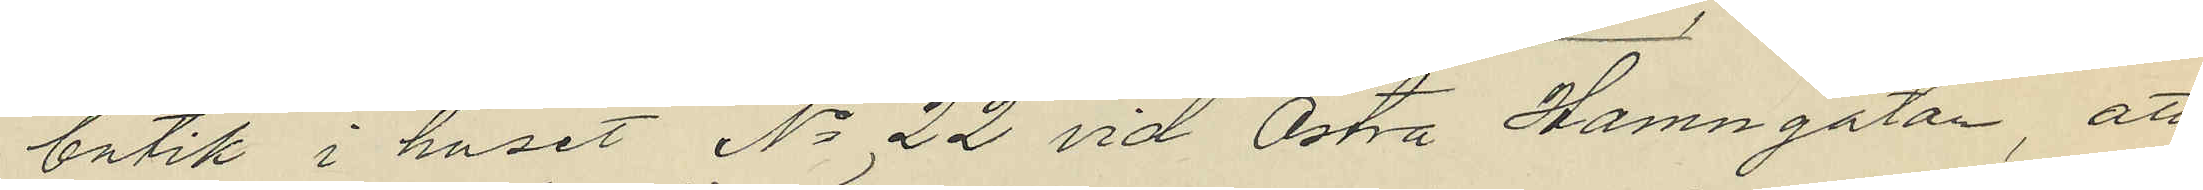butik i huset No 22 vid Östra Hamngatan, att
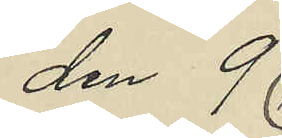den 9
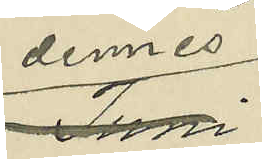dennes
